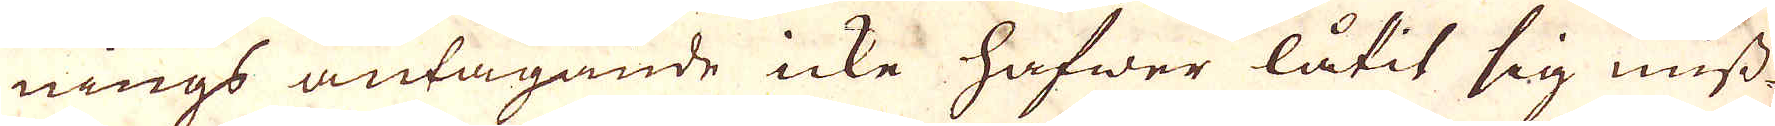nings antagande icke hafwer låtit sig miss
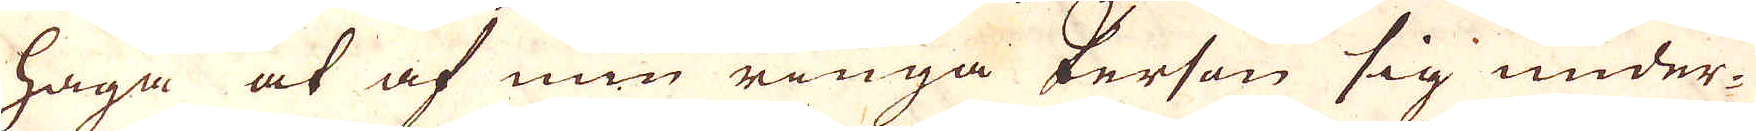haga at af min ringa Person sig under-
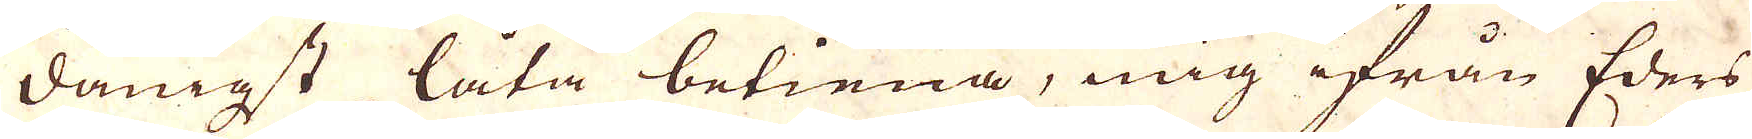dånigst låta betiena, mig ifrån Eders
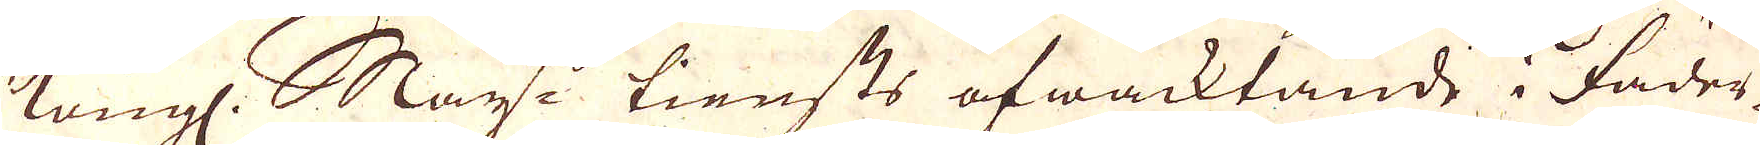Kongl. May:ts tiensts afwaktande, i fäder-
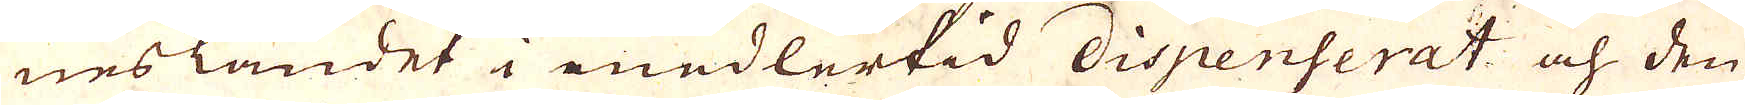neslandet i medlertid dispenserat och den
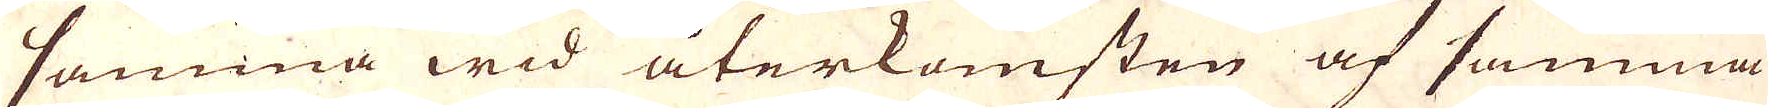samma wid återkomsten af samma
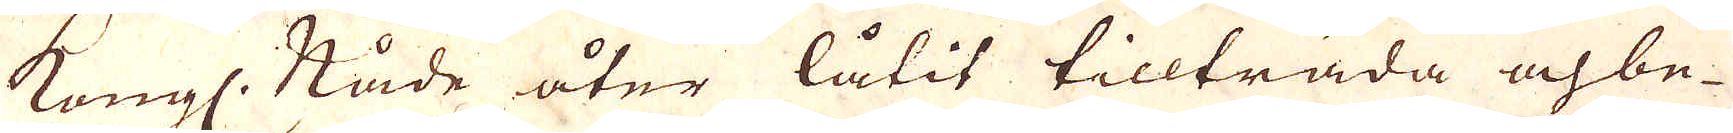Kungl. Nåde åter låtit tillträda och be-
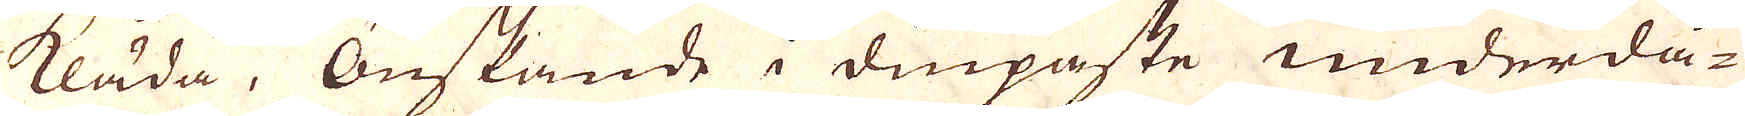kläda, Önskande i diupaste underdå-
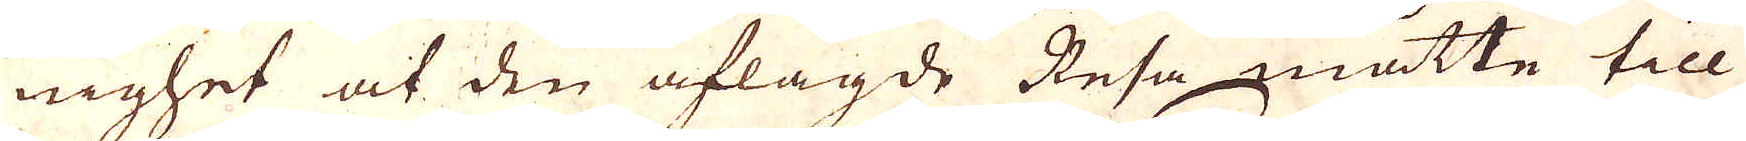nighet af den aflagde Resa måtte till
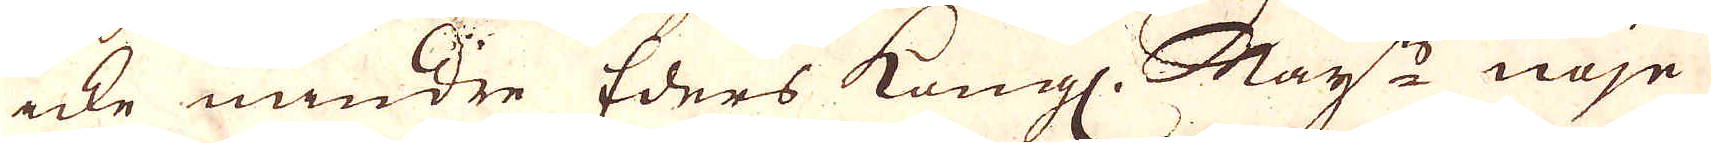icke mindre Eders Kungl. May:ts nöje
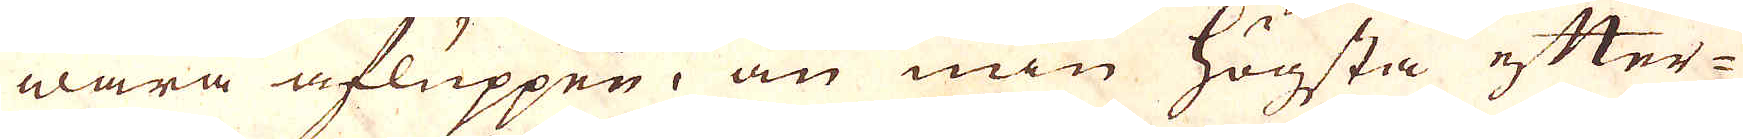wara ufluppen, än min högsta efter-
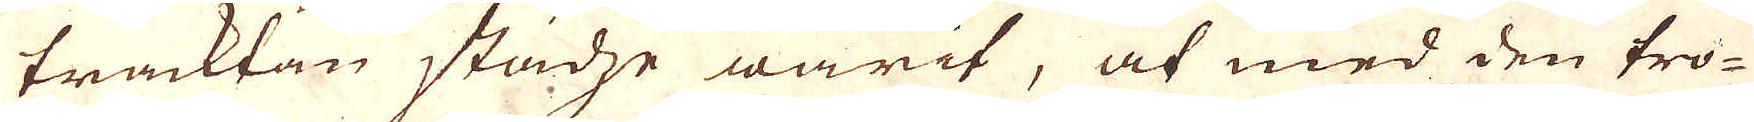tracktan städze warit, at med den tro-
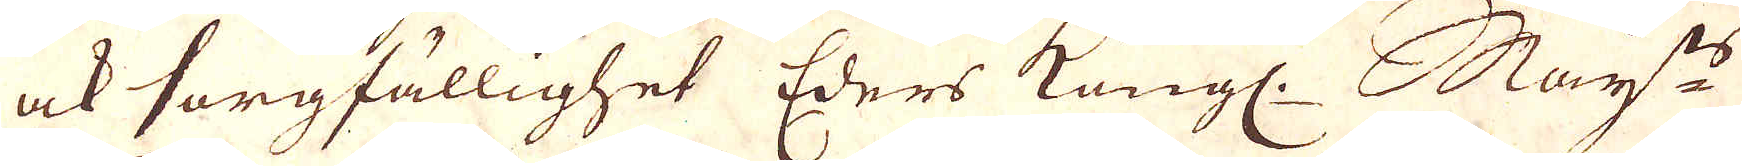ock sorgfällighet Eders Kongl. May:ts
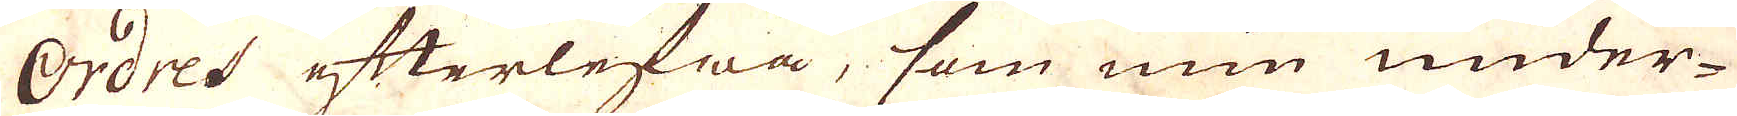ordres efterlefwa, som min under-
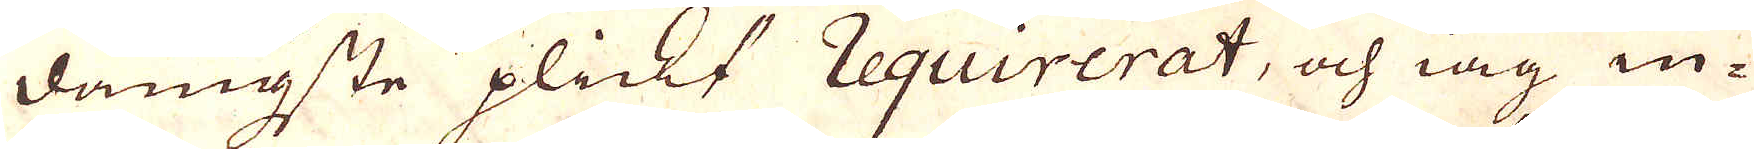dånigste plickt requirerat, och ing in-
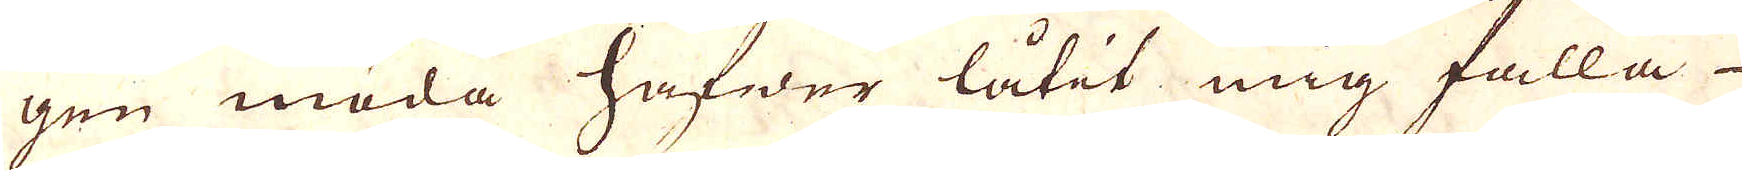gen möda hafwer låtit mig falla –
